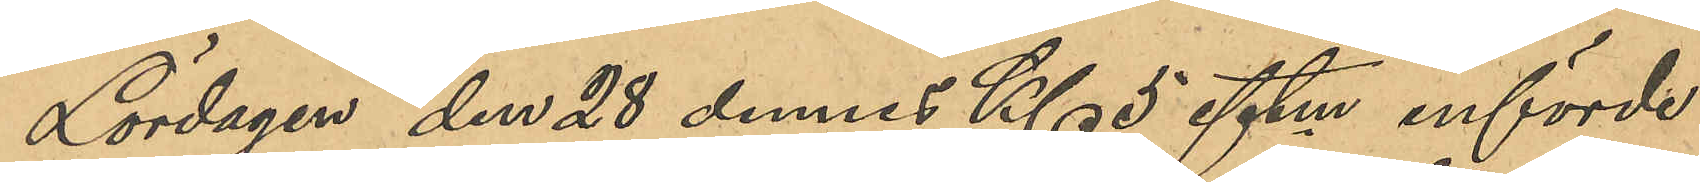Lördagen den 28 dennes Kl 5 eftm införde
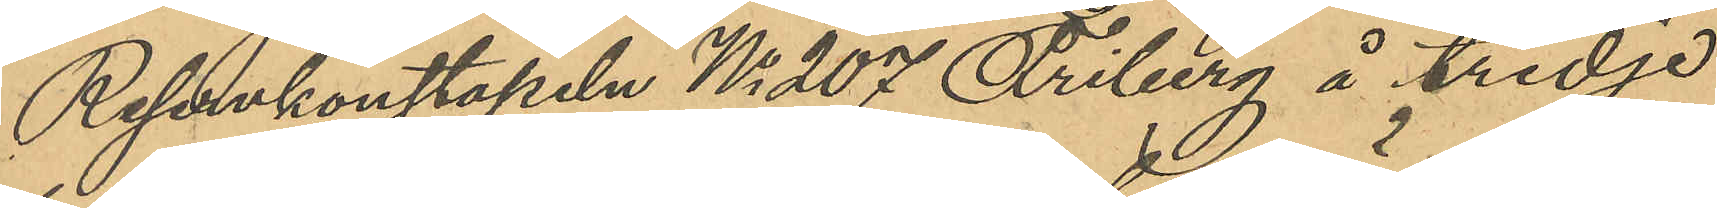Reservkonstapeln No 207 Friberg å tredje
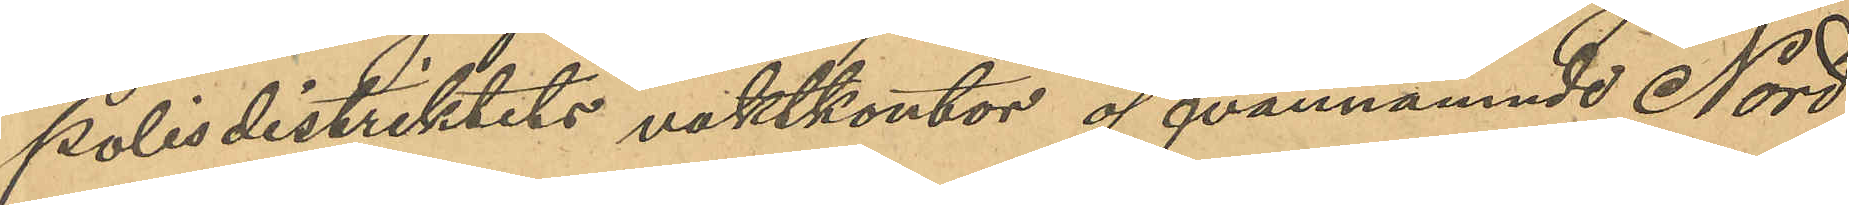polisdistriktets vaktkontor ofvannämnde Nord,
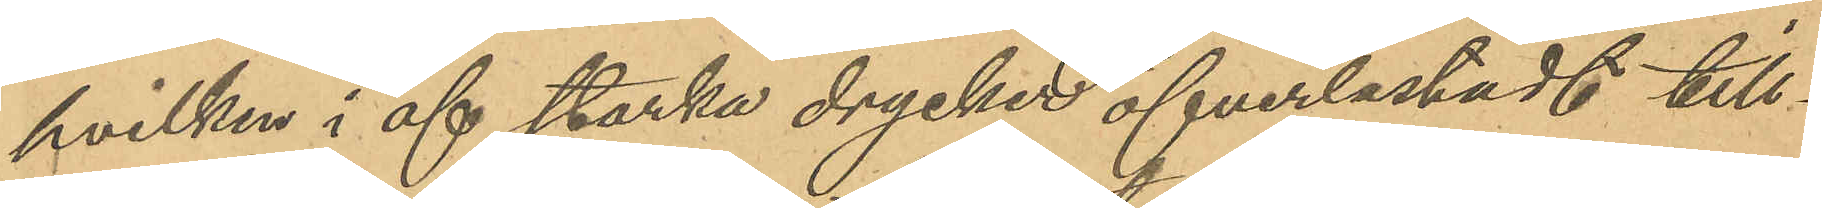hvilken i af starka drycker öfverlastadt till¬
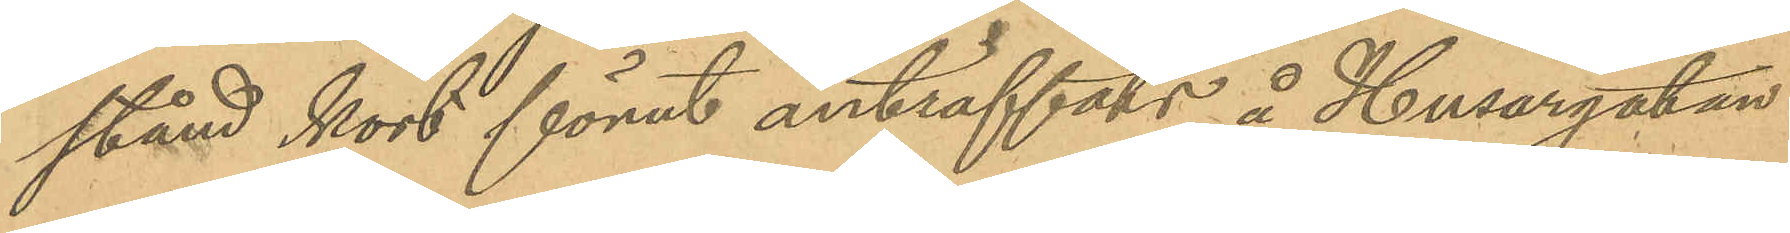stånd kort förut anträffats å Husargatan.
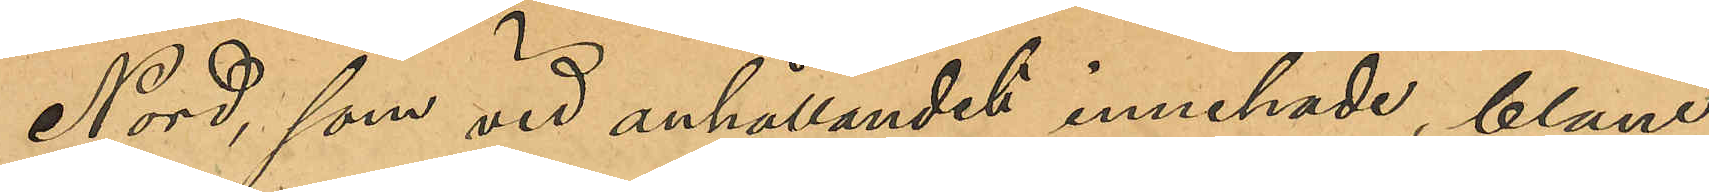Nord, som vid anhållandet innehade, bland
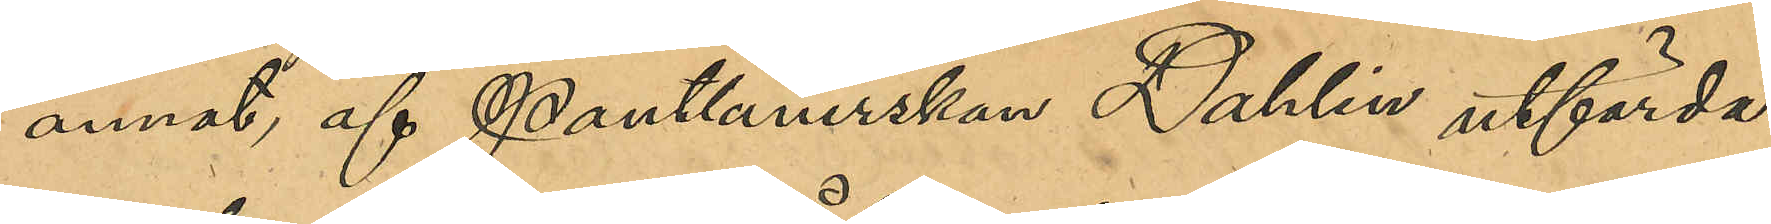annat, af Pantlånerskan Dahlin utfärda¬
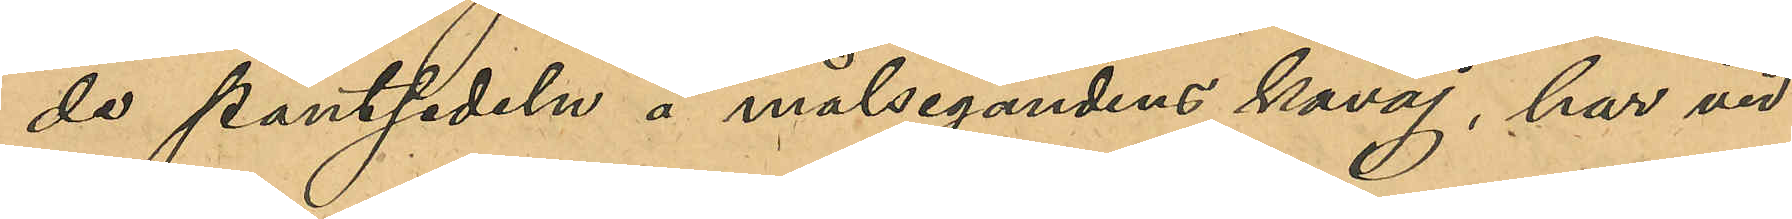de pantsedeln å målsegandens kavaj, har vid
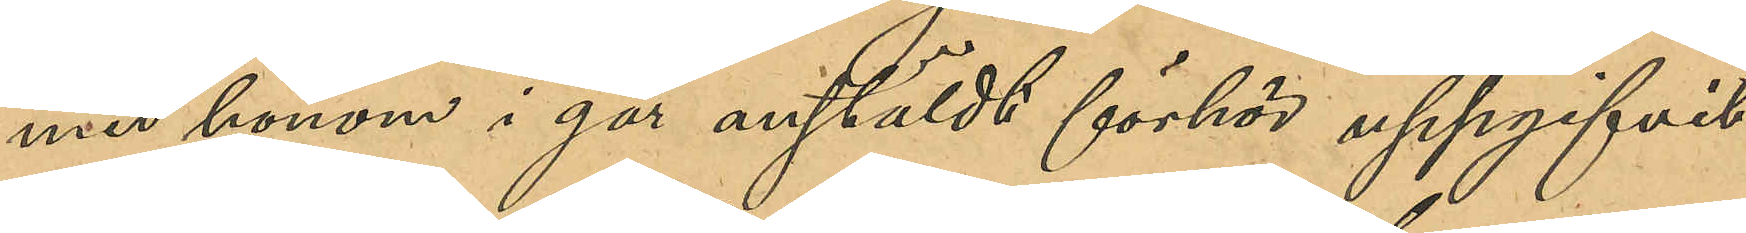med honom i går anstäldt förhör uppgifvit
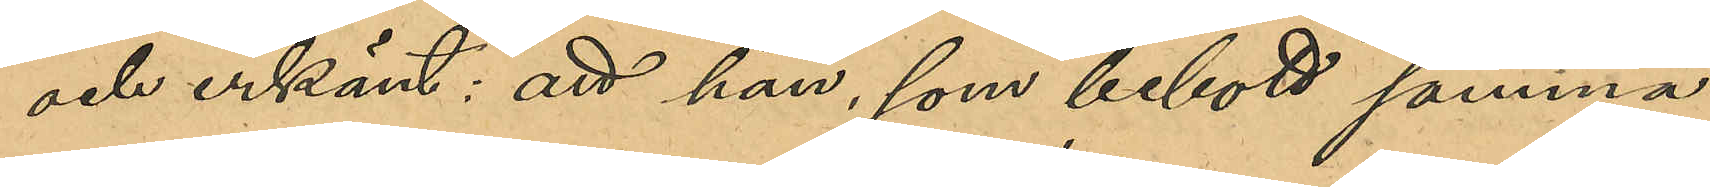och erkänt: att han, som bebott samma
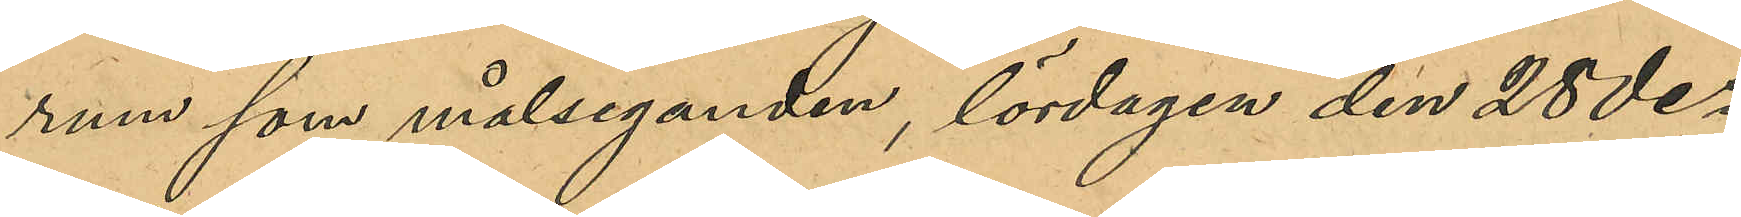rum som målseganden, lördagen den 28 des
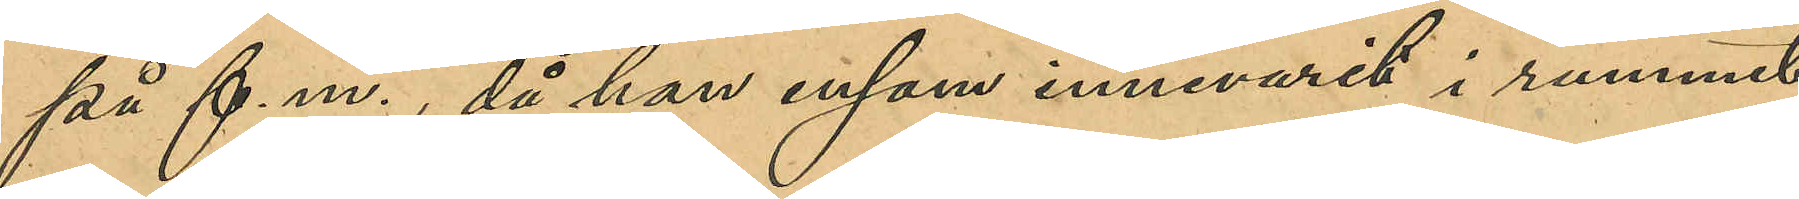på f.m., då han ensam innevarit i rummet,
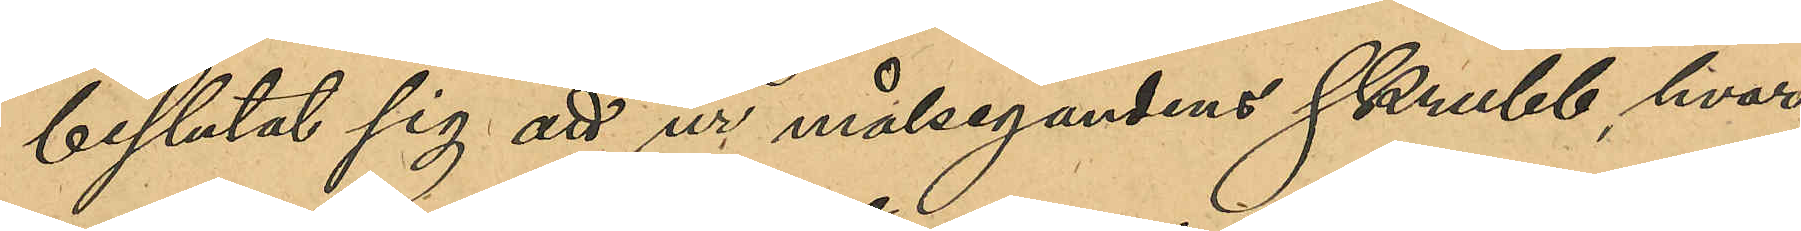beslutat sig att ur målsegandens skrubb, hvar¬
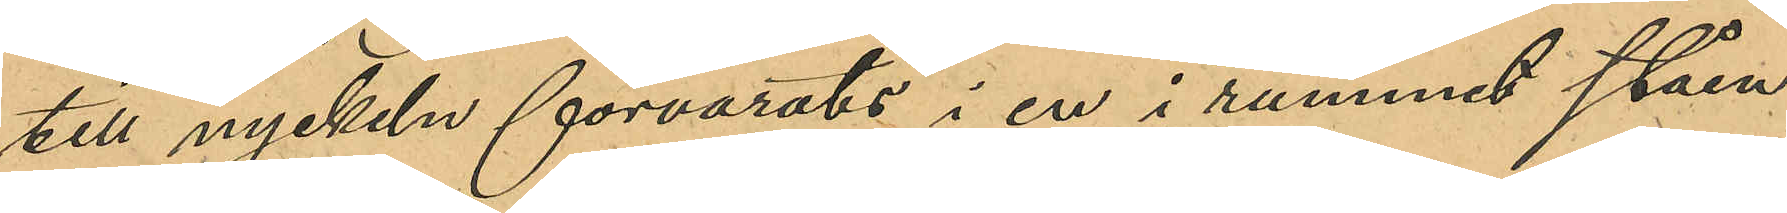till nyckeln förvarats i en i rummet ståen¬
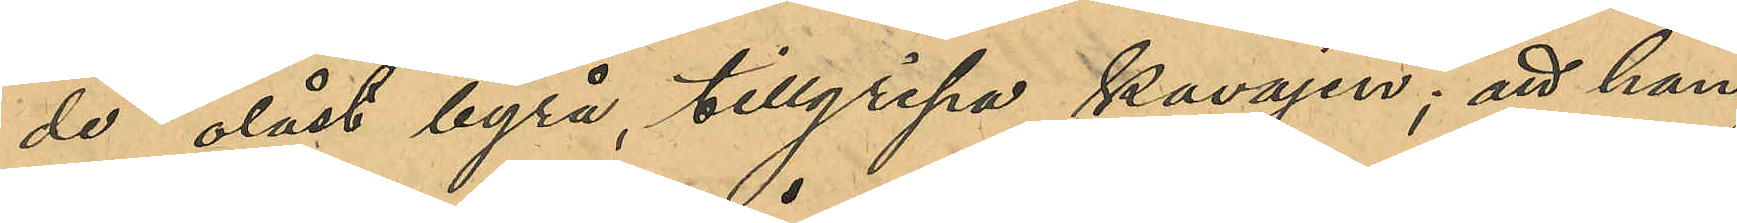de olåst byrå, tillgripa kavajen; att han
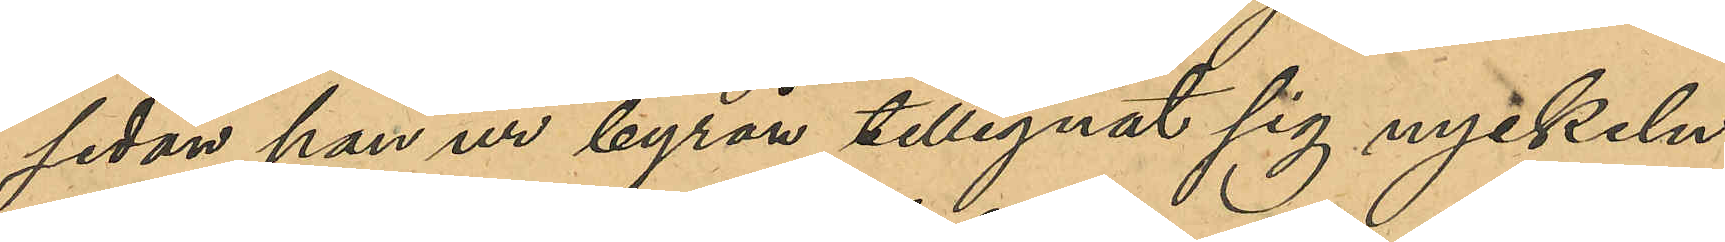sedan han ur byrån tillegnat sig nyckel,
